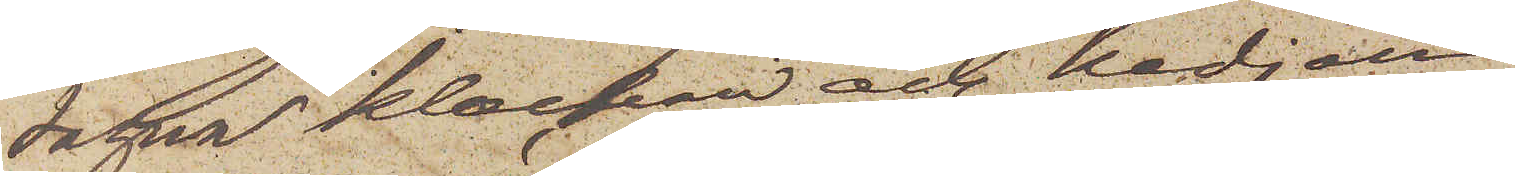tagna klockan och kedjan.
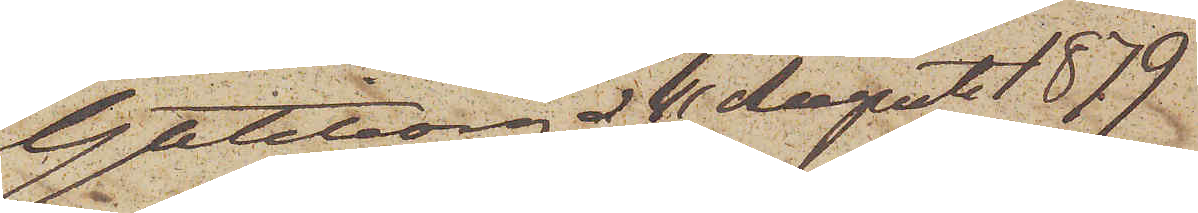Göteborg d 11 Augusti 1879
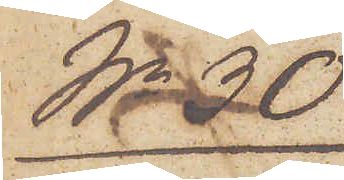No 30
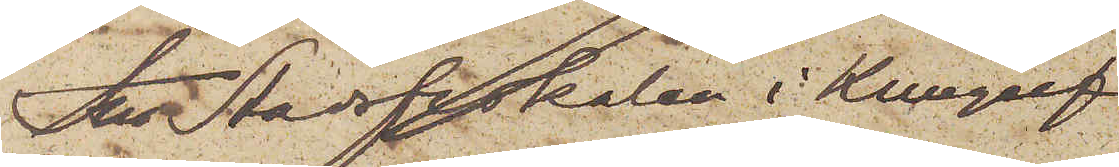Till Stadsfiskalen i Kungelf.
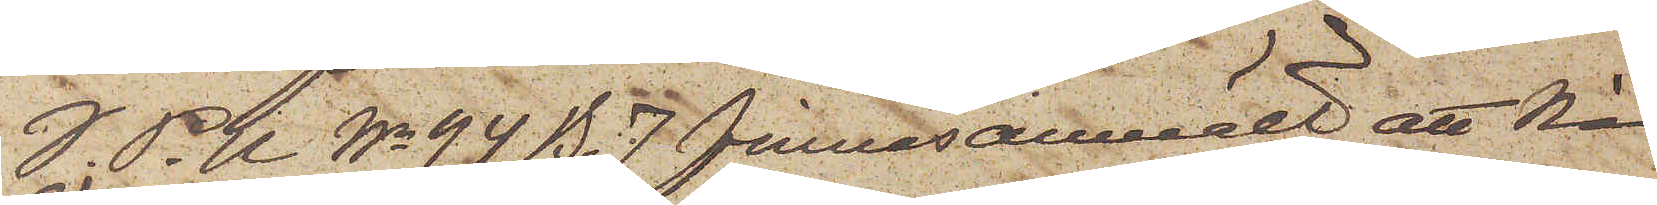I. P. U. No 94 B. 7 finnes anmält att Ni
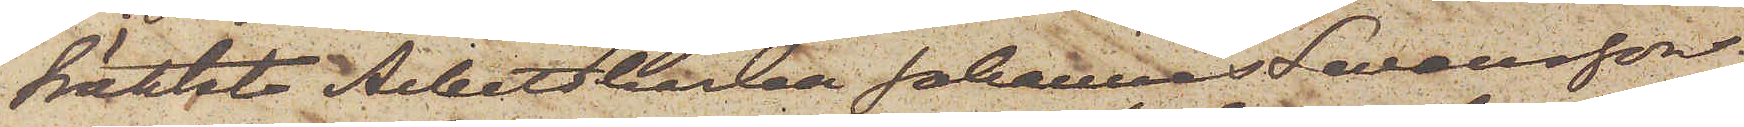häktat Arbetskarlen Johannes Swensson
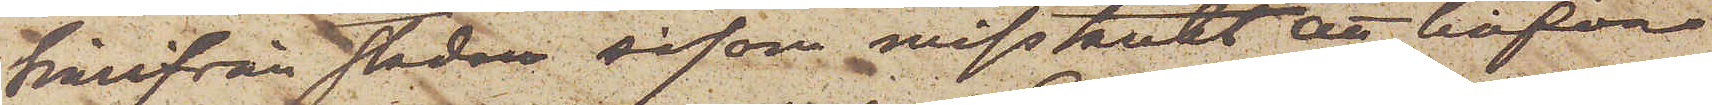härifrån staden såsom misstänkt att hafva
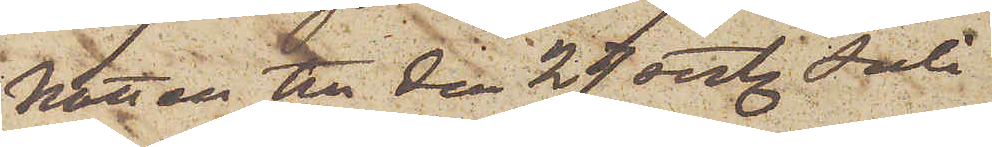Natten till den 27 sist. Juli
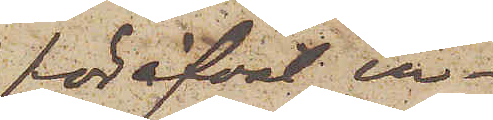föröfvat in¬
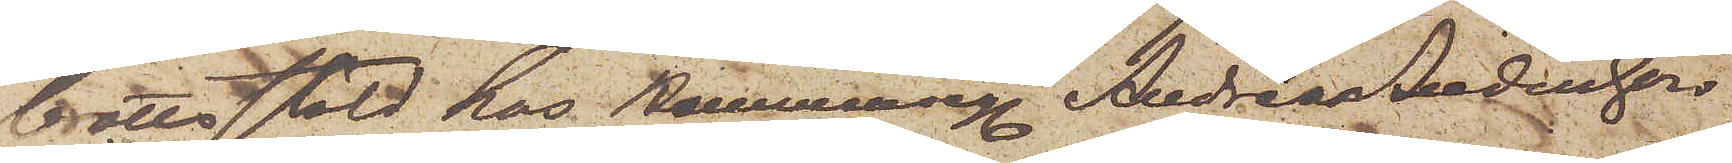brottsstöld hos Hemmanseg. Andreas Andersson
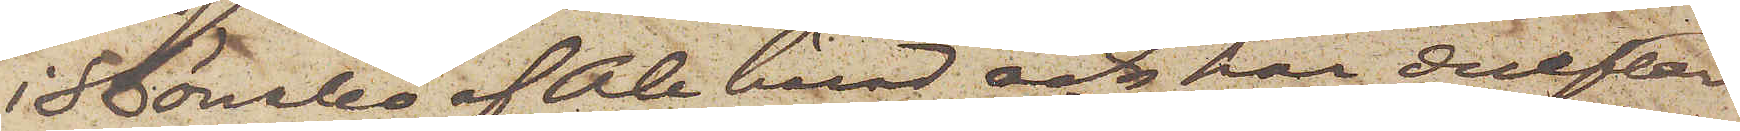i Bönabo af Ale härad och har derefter
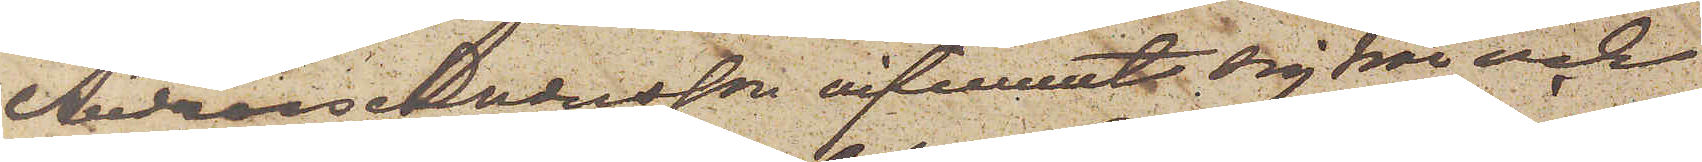Andreas Andersson infunnit sig här och
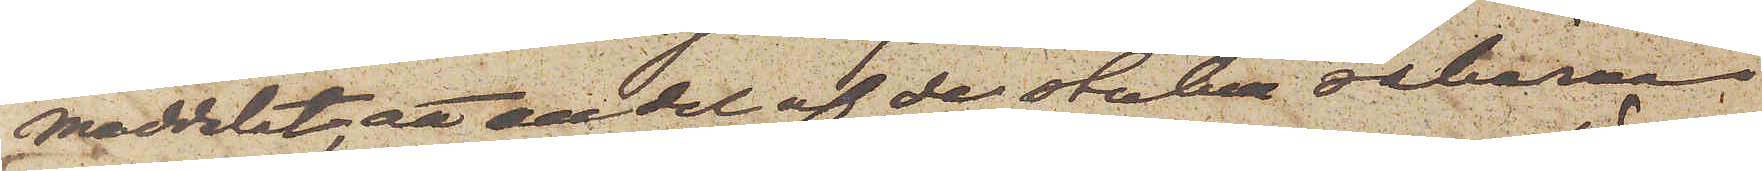meddelat, att en del af de stulna sakerna
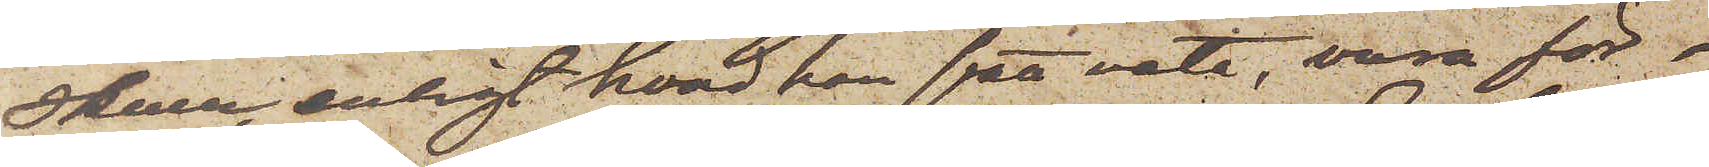Skulle, enligt hvad han fått veta, vara för¬
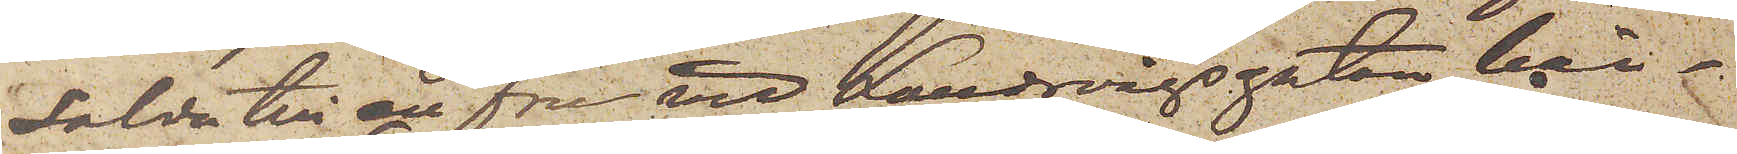sålda till en fru vid Landsvägsgatan här¬
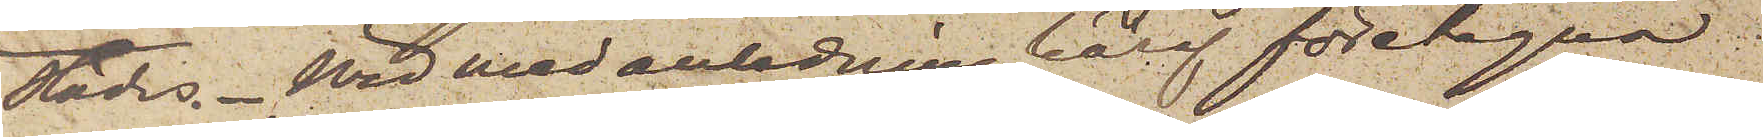städes. Wid med anledning häraf företagna
